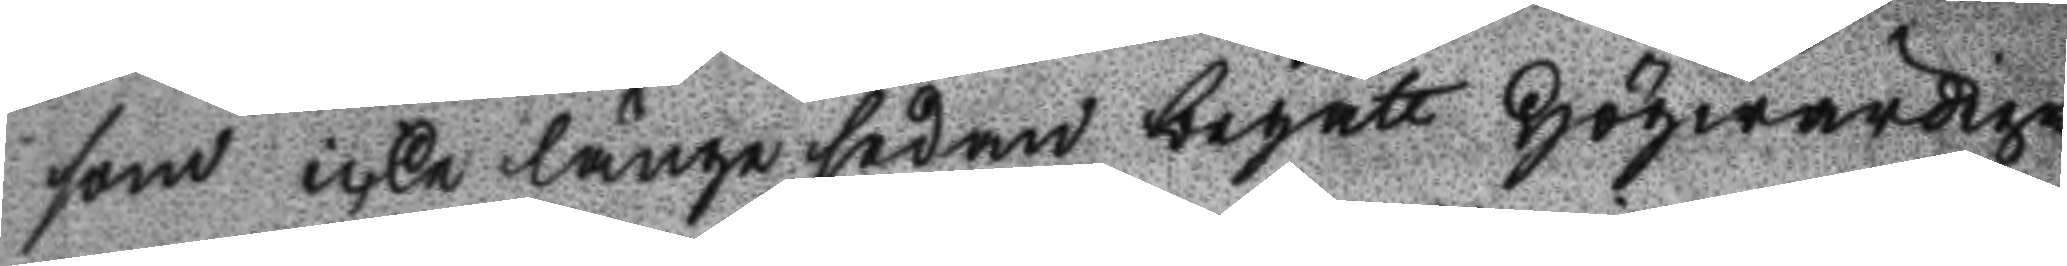som icke länge sedan begått Högwärdige
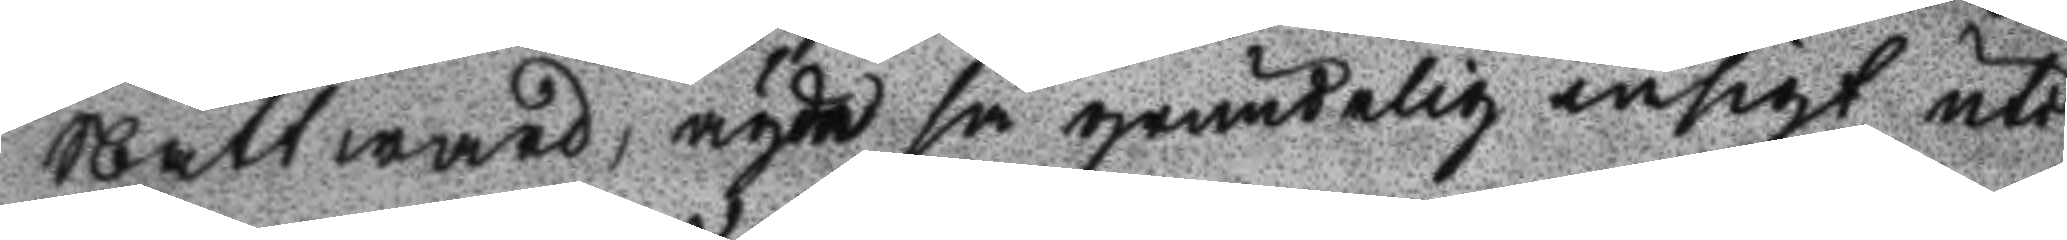Nattward, ägde så grundelig insikt uti
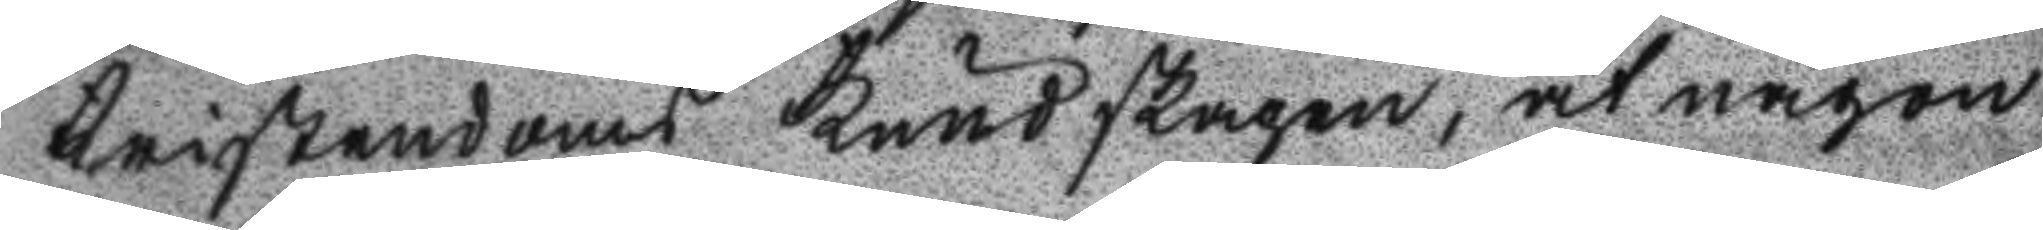Kristendoms Kundskapen, at någon
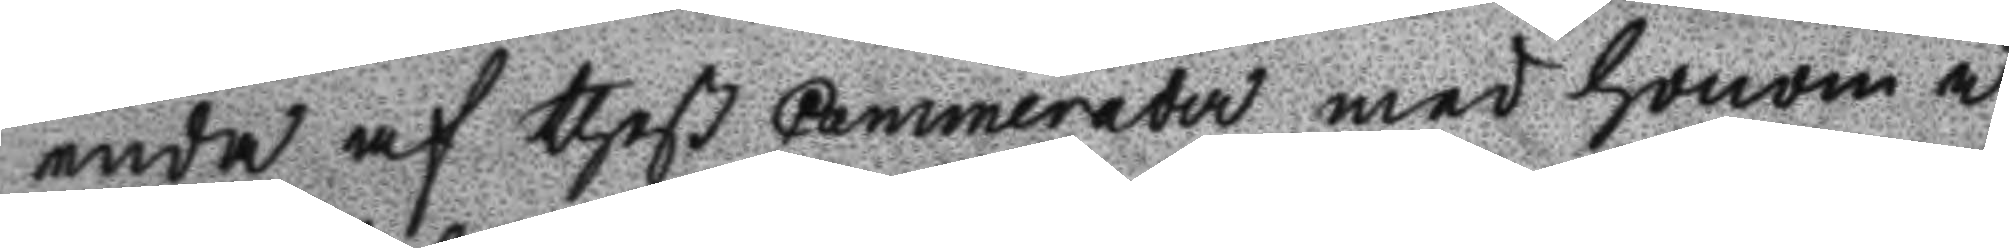enda af theß Cammerader med honom i
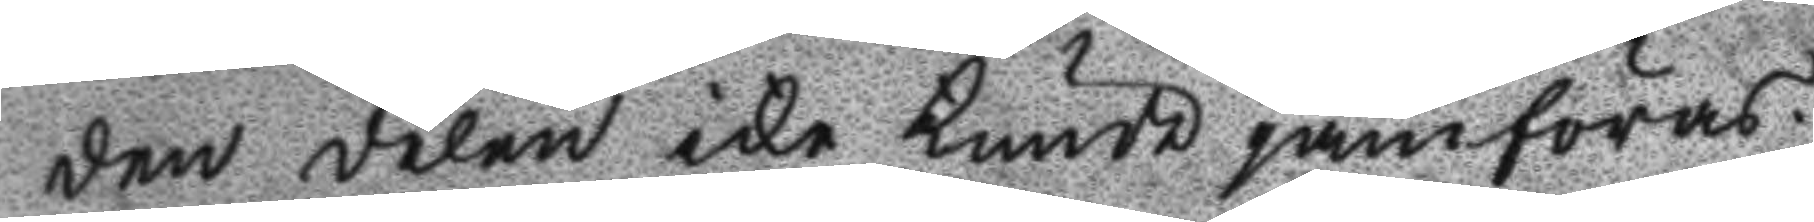den delen icke kunde jämföras.
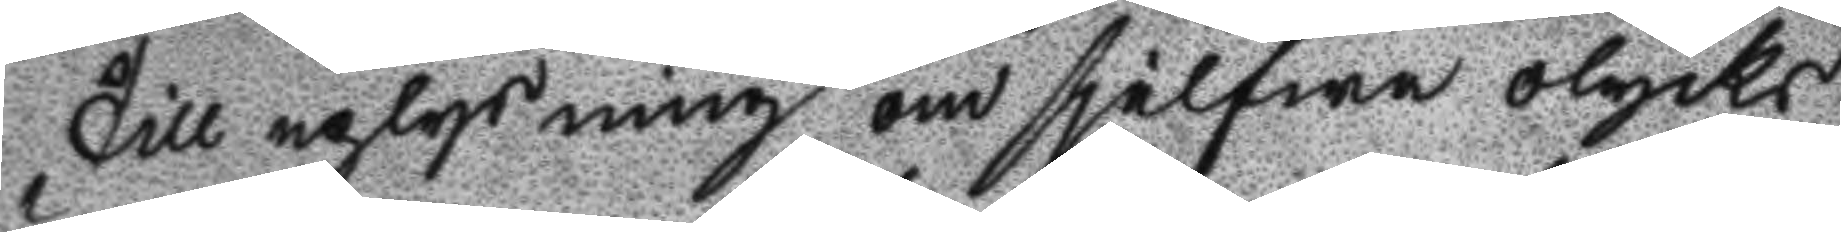Till uplysning om sjelfwa olycks
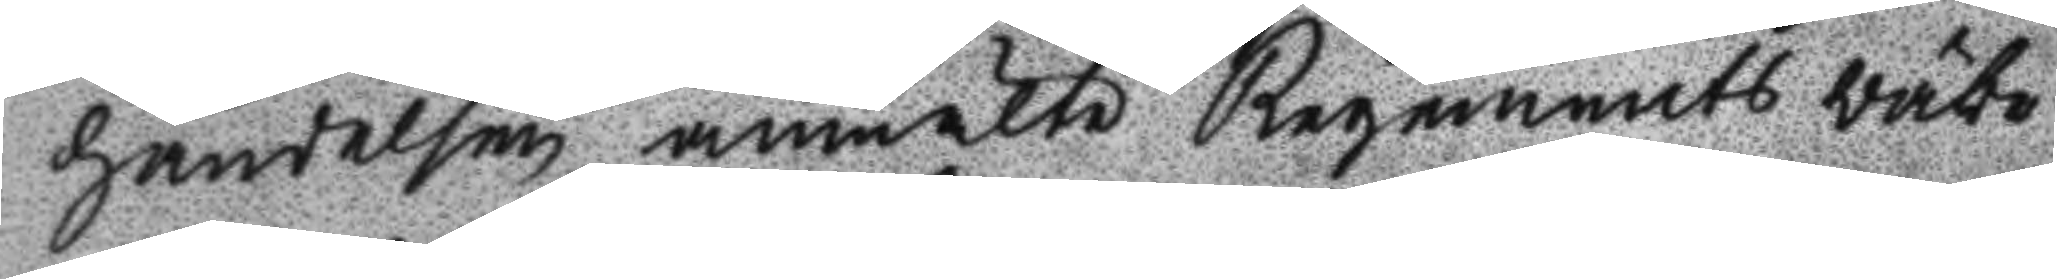händelsen, anmälte Regements Wäbe
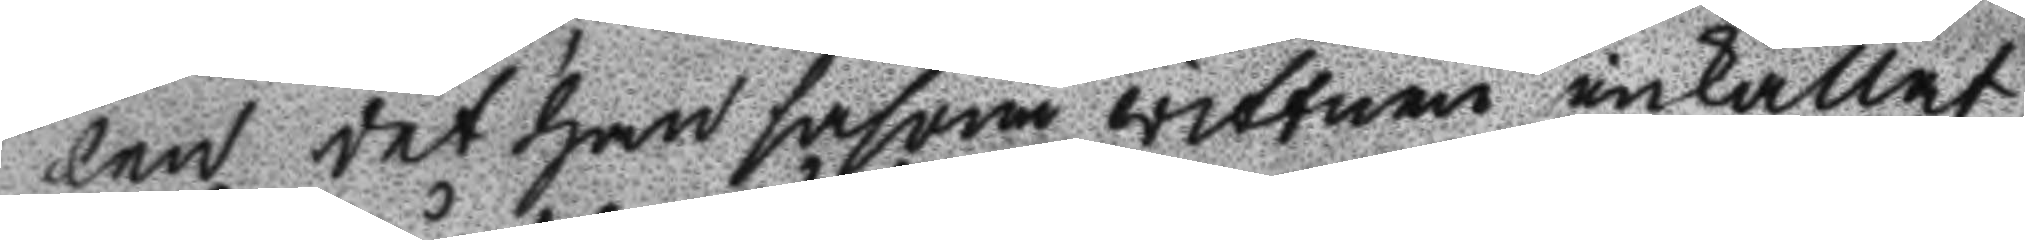len det han såsom wittnen inkallat
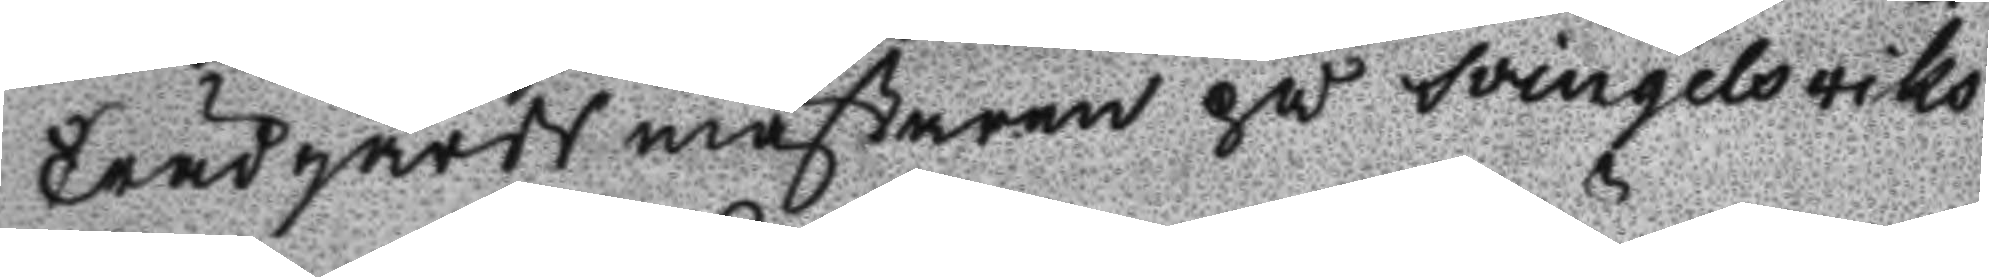Trädgårdsmästaren på Swingelswiks
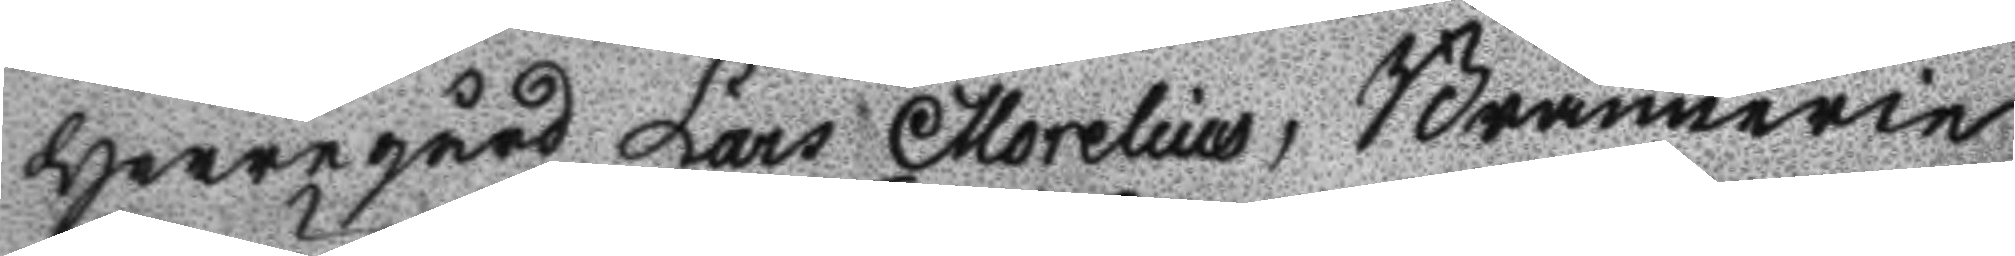Herrgård Lars Morelius, Brännerie
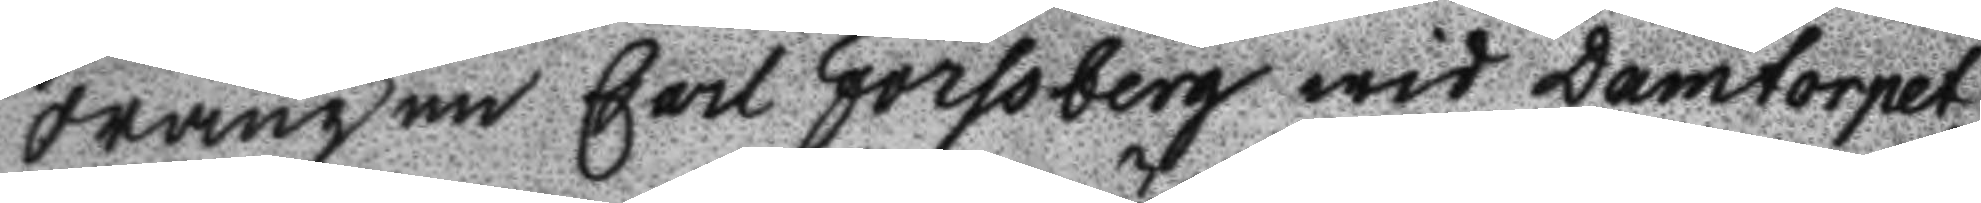drängen Carl Forsberg wid Damtorpet
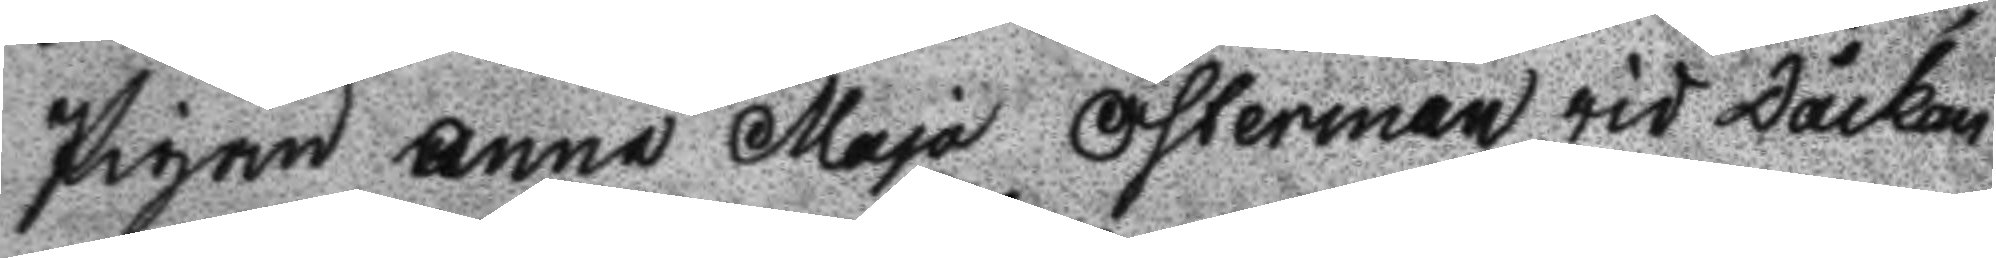Pigan Anna Maja Österman wid Dåckan
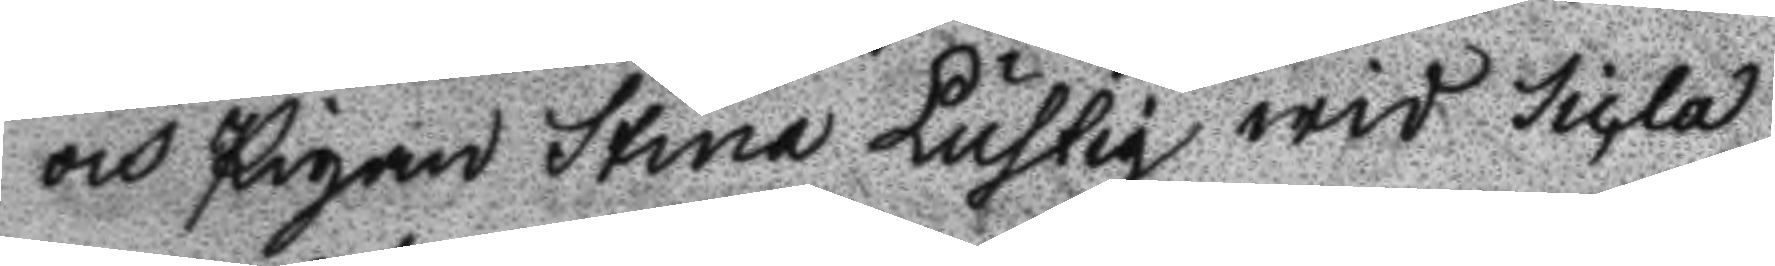och Pigan Stina Lustig wid Sicla.
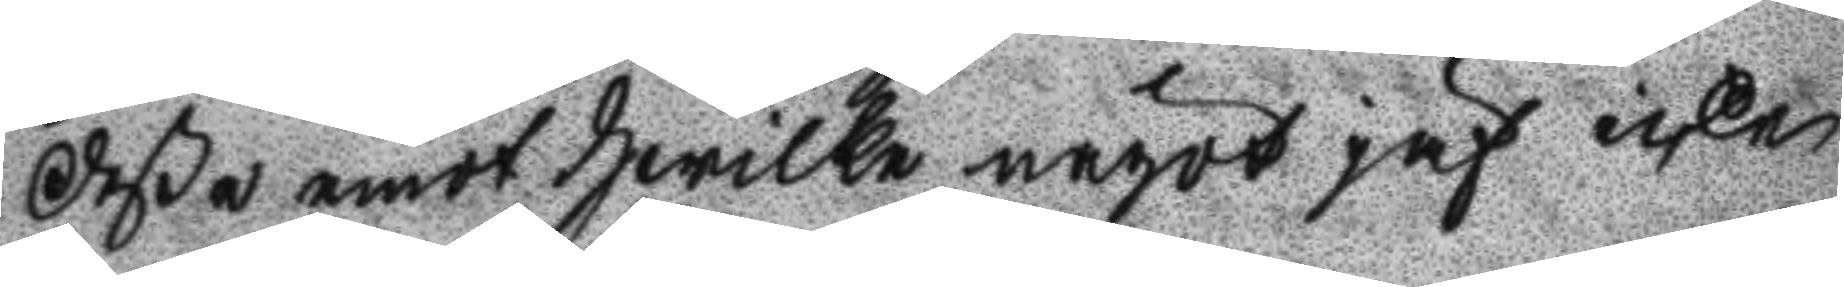deße emot Hwilka något jäf icke
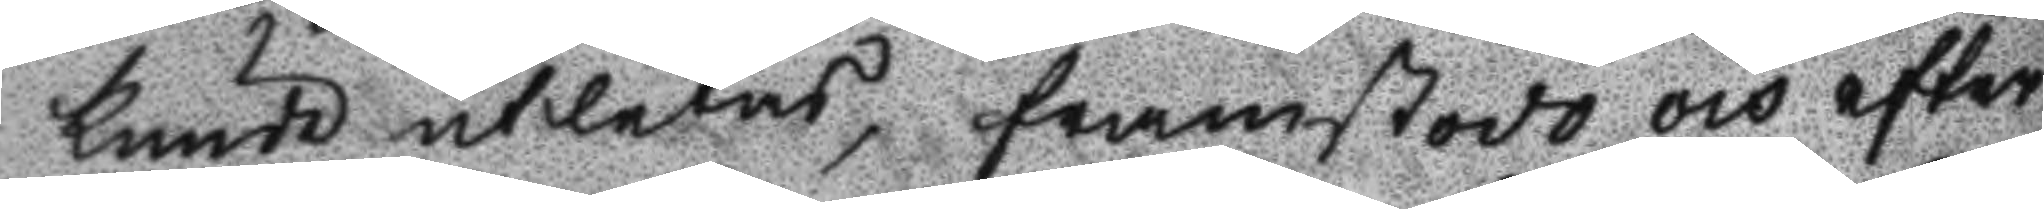kunde atletas, framstodo och efter
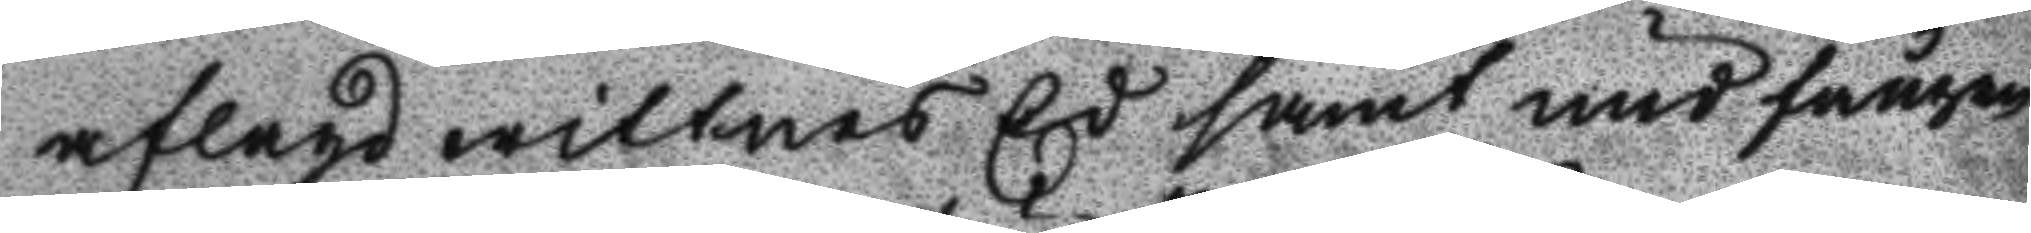aflagd wittnes Ed samt undfången
